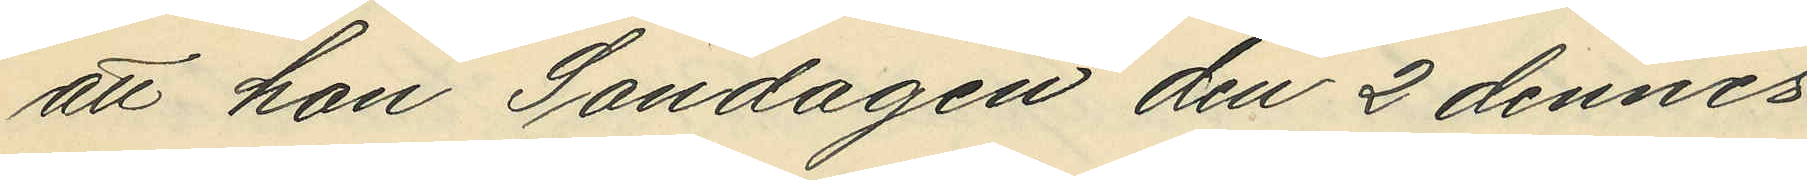att hon Söndagen den 2 dennes
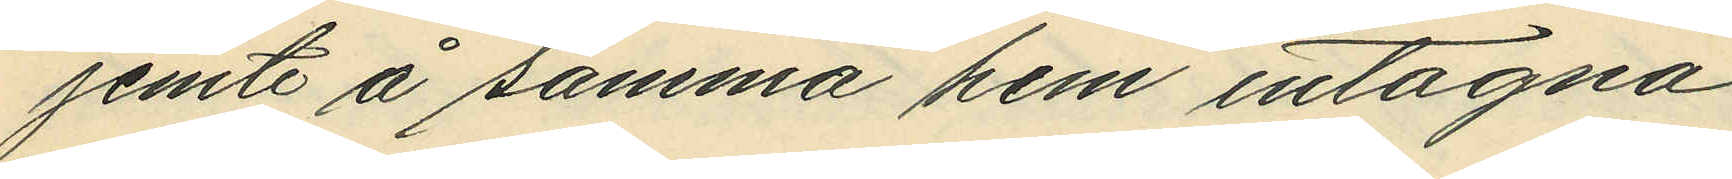jemte å samma hem intagna
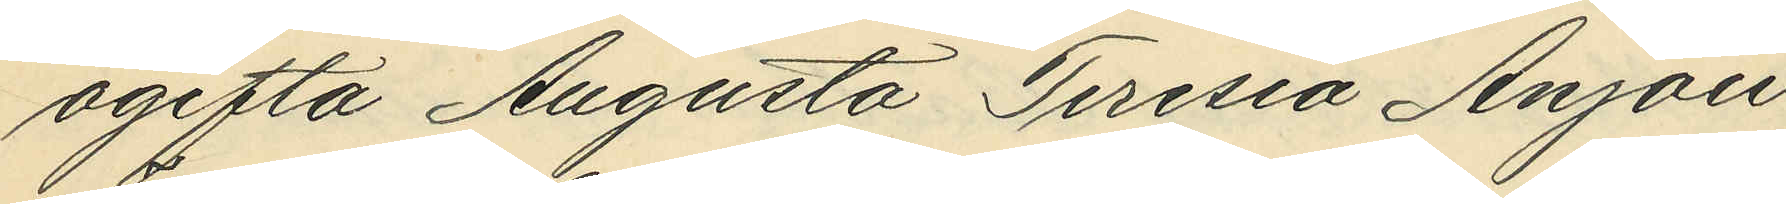ogifta Augusta Teresia Anjou
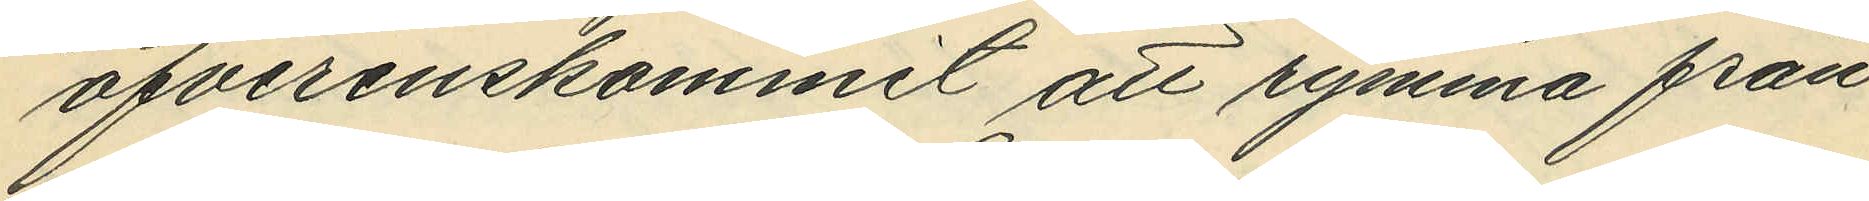öfverenskommit att rymma från
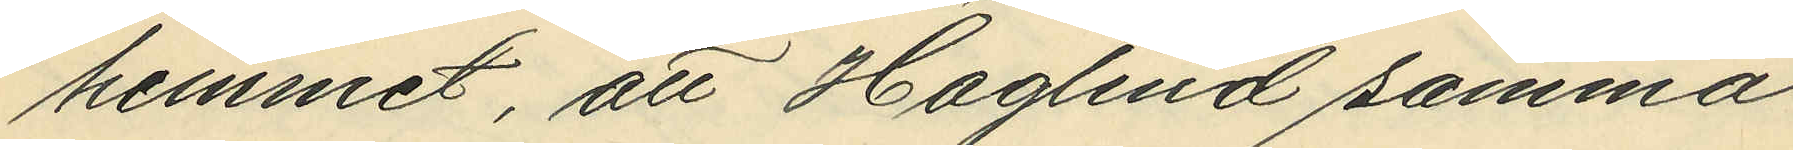hemmet, att Haglind samma
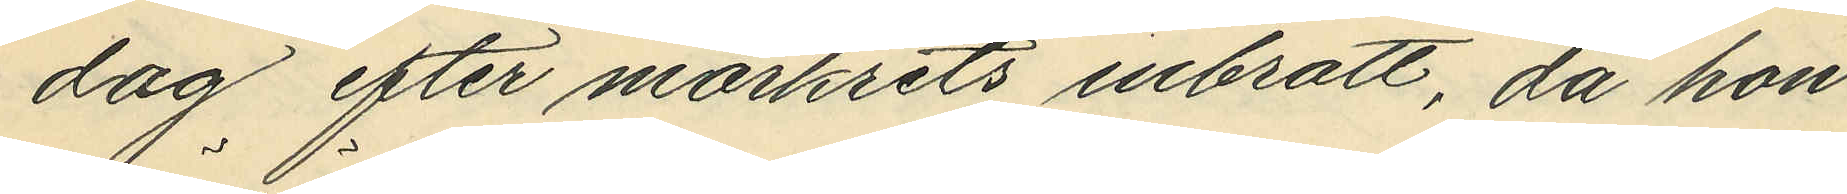dag efter mörkets inbrott, då hon
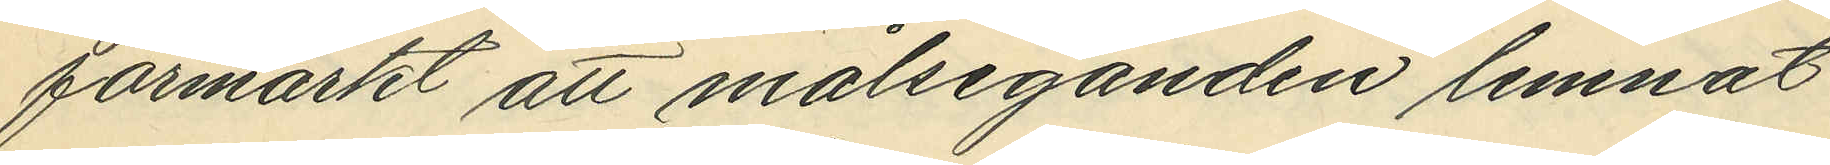förmärkt att målseganden lemnat
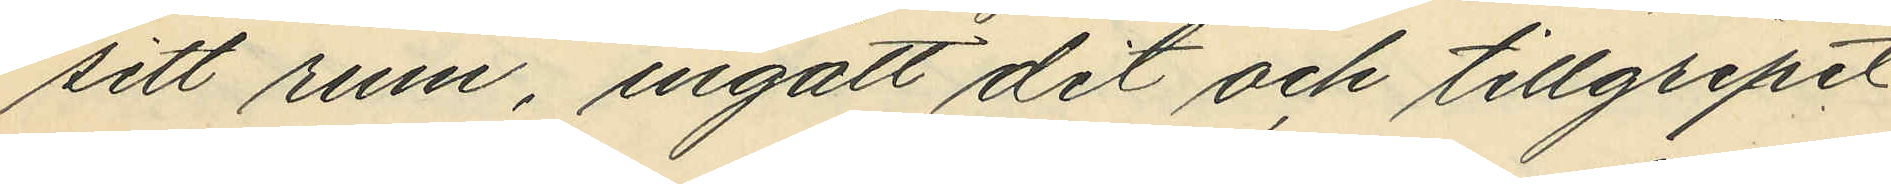sitt rum, ingått dit och tillgripit
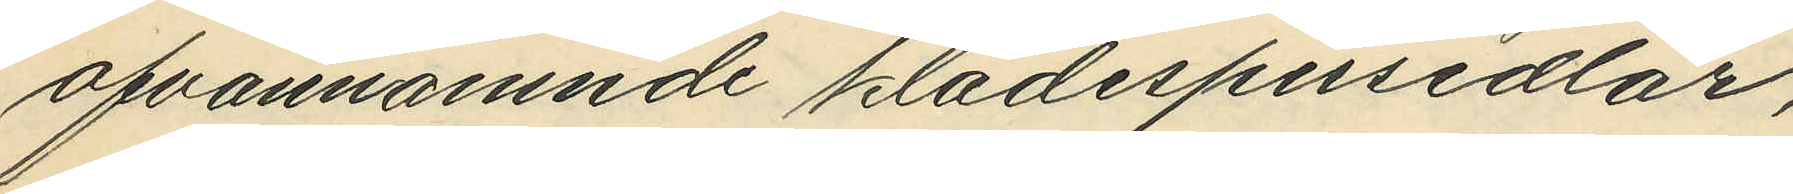ofvannämnde klädespersedlar,
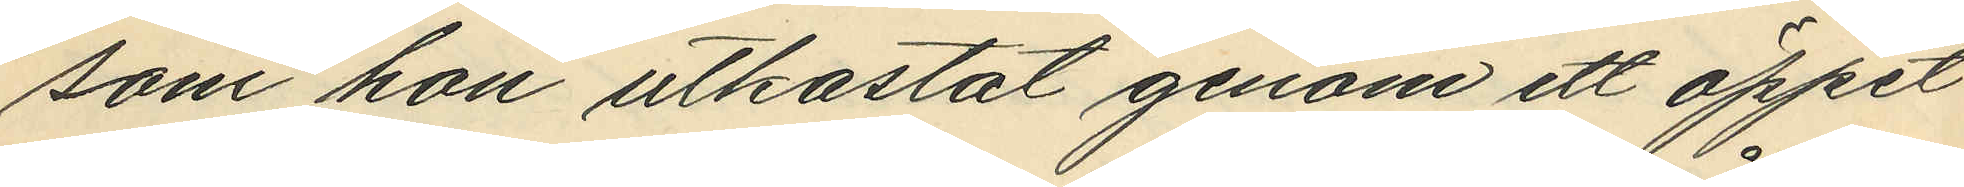som hon utkastat genom ett öppet
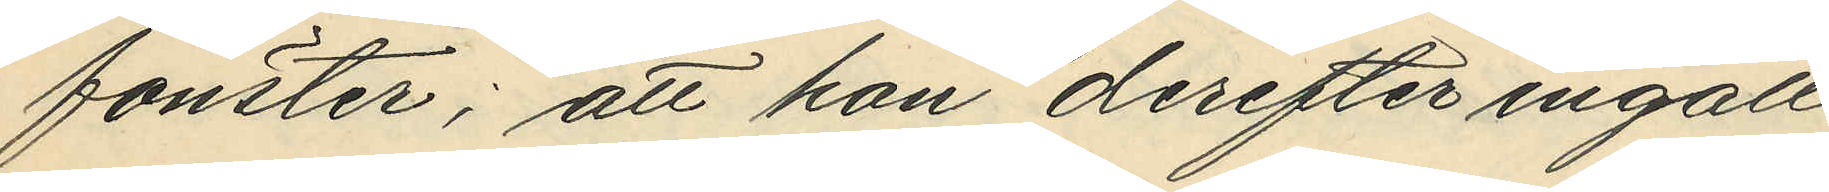fönster; att hon derefter ingått
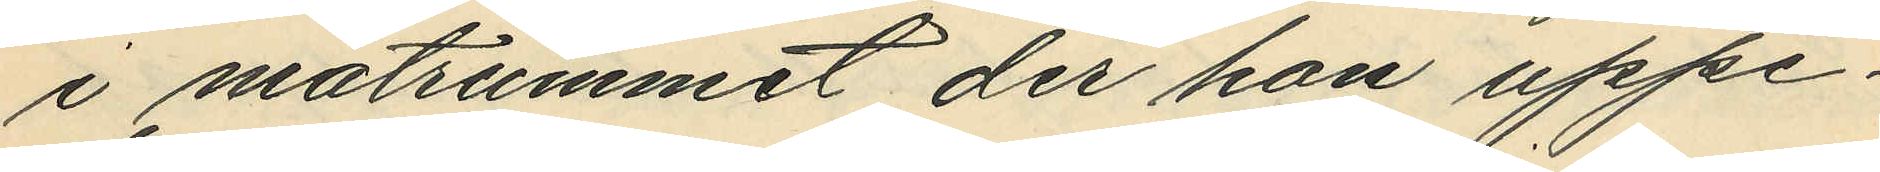i matrummet der hon uppe¬
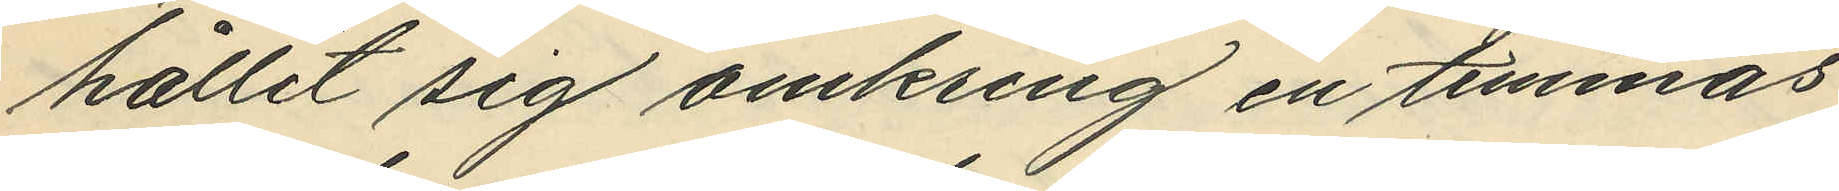hållit sig omkring en timmas
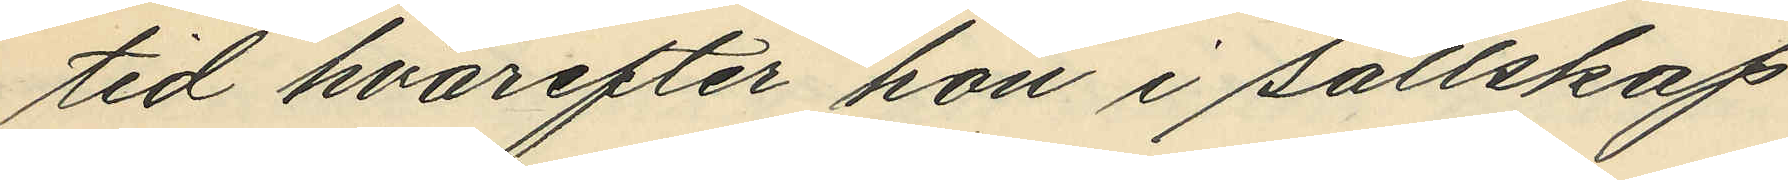tid hvarefter hon i sällskap
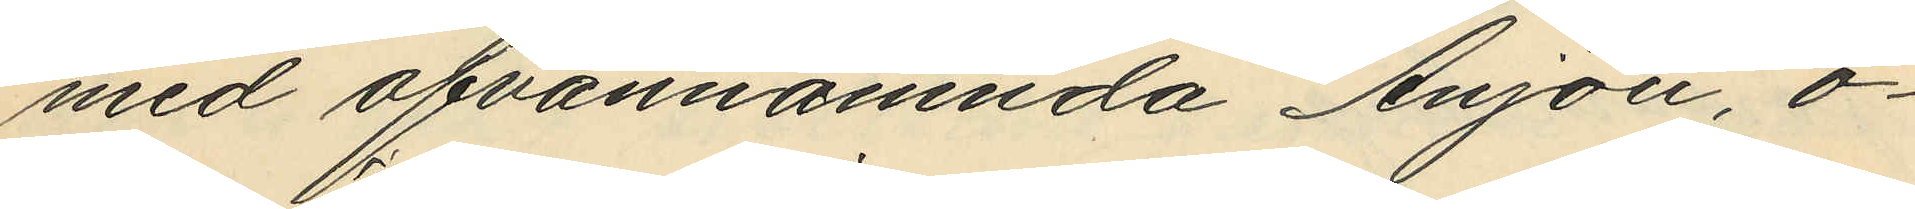med ofvannämnda Anjou, o¬
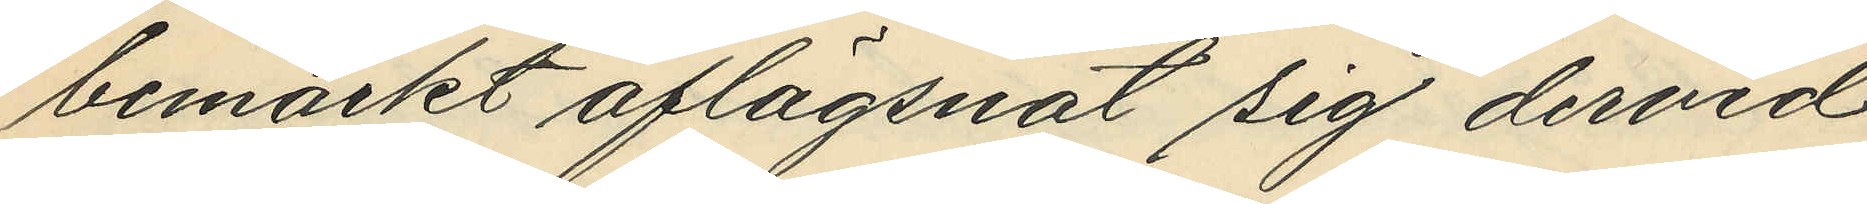bemärkt aflägsnat sig dervid
